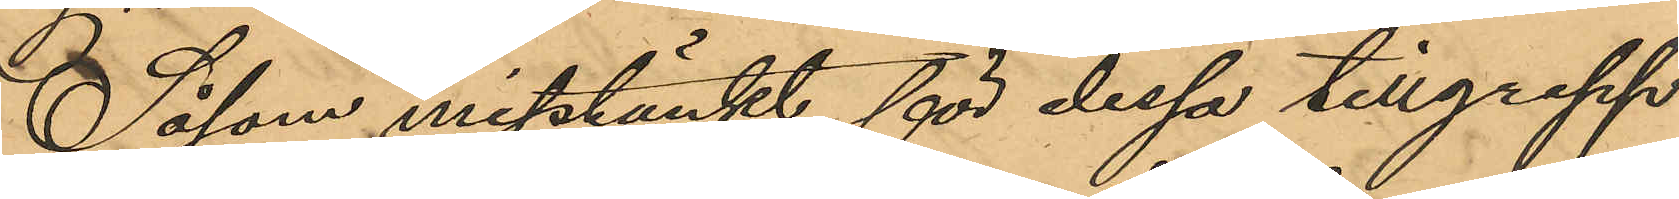Såsom misstänkt för dessa tillgrepp
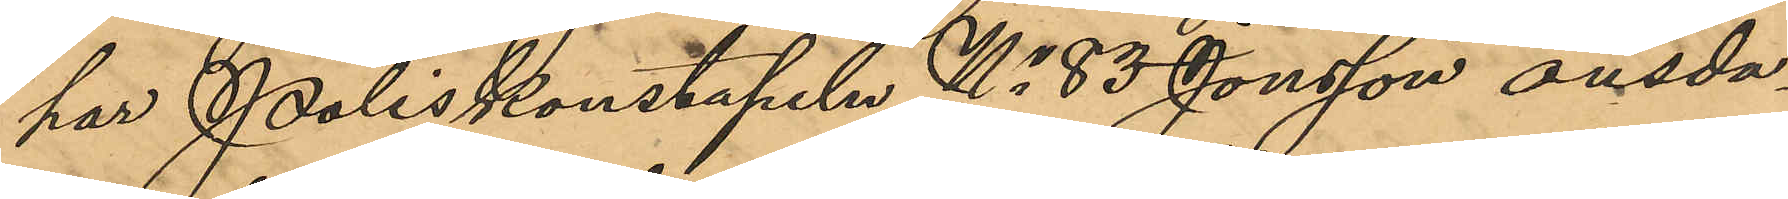har Poliskonstapeln No 83 Jonsson onsda¬
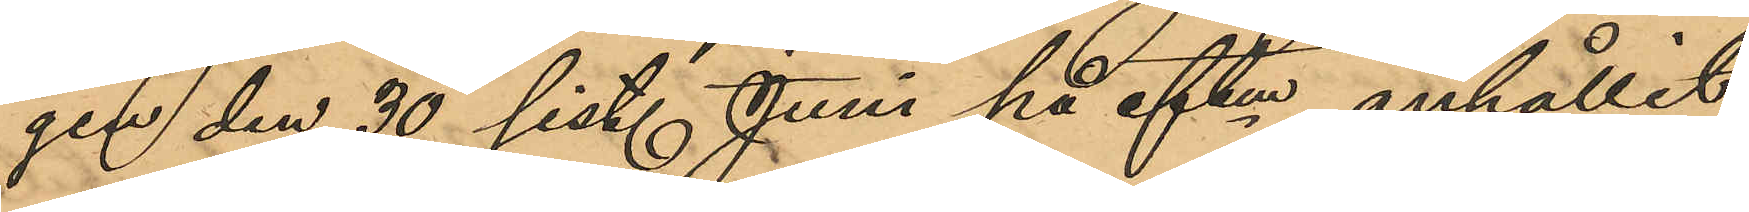gen den 30 sist. Juni på eftm anhållit
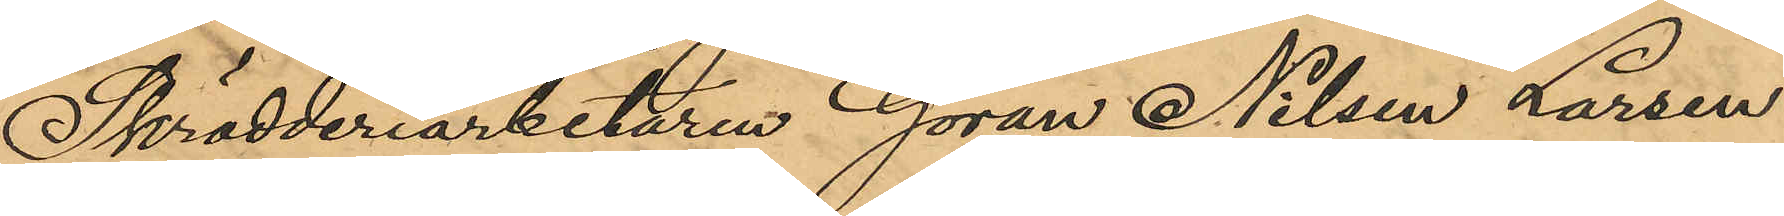Skrädderiarbetaren Göran Nilsen Larsen
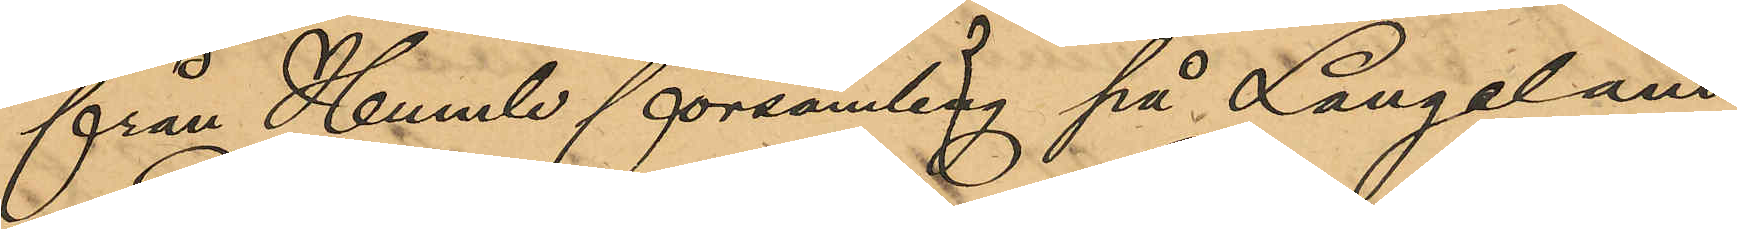från Humle församling på Langeland
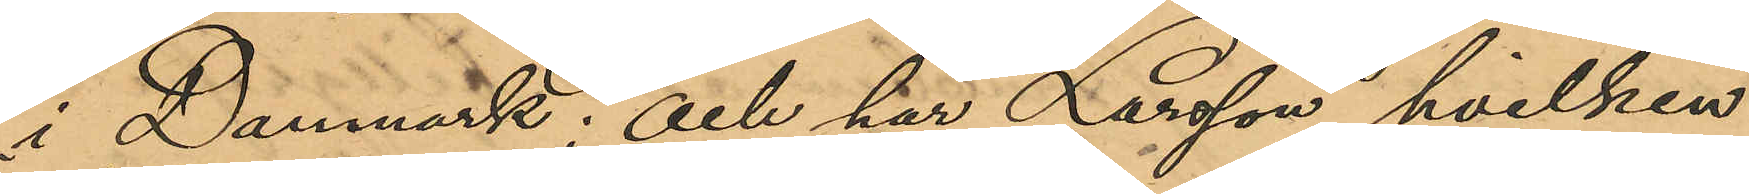i Danmark; och har Larsson, hvilken
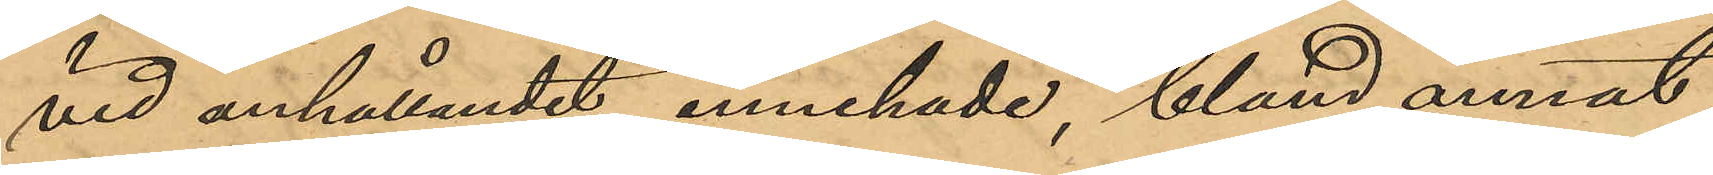vid anhållandet innehade, bland annat
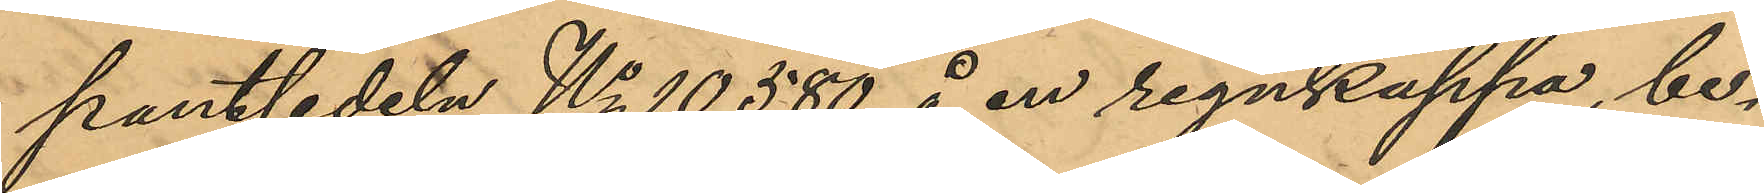pantsedetn No 10580 å en regnkappa, be¬
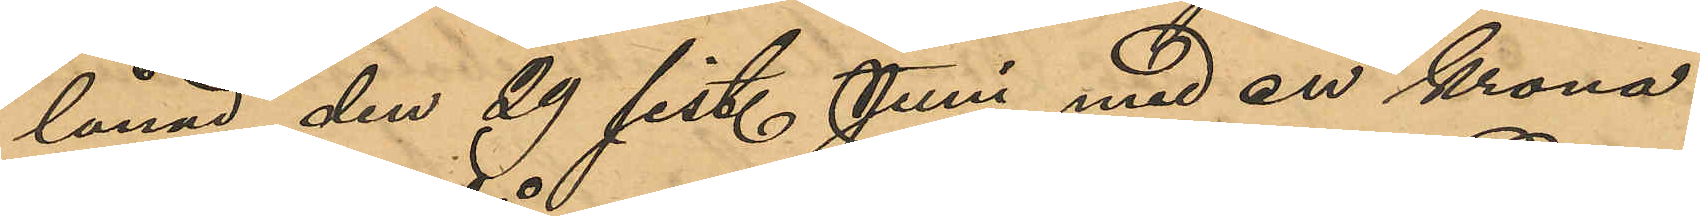lånad den 29 sist. Juni med en krona
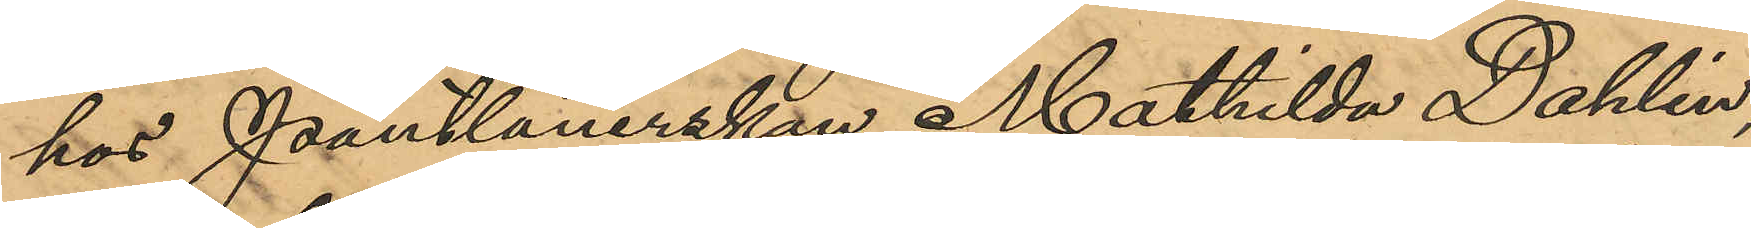hos Pantlånerskan Mathilda Dahlin,
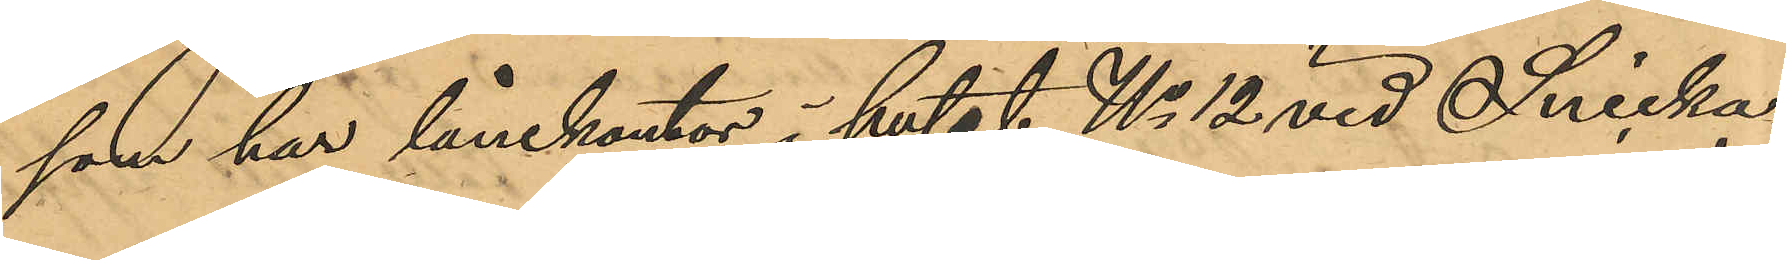som har lånekontor i huset No 12 vid Snicka¬
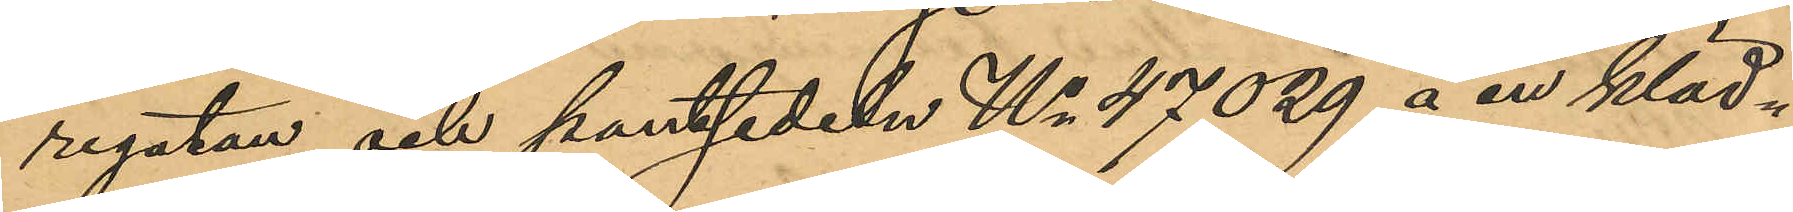regatan och pantsedeln No 47029 å en kläd¬
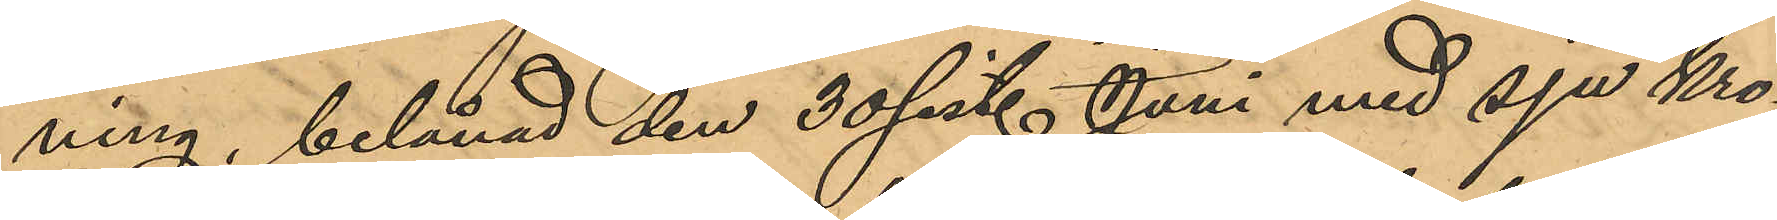ning, belånad den 30 sist. Juni med sju kro¬
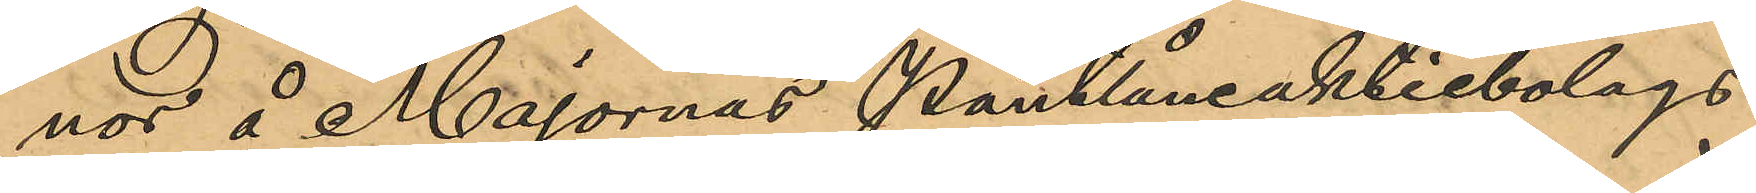nor å Majornas Pantlåneaktiebolags
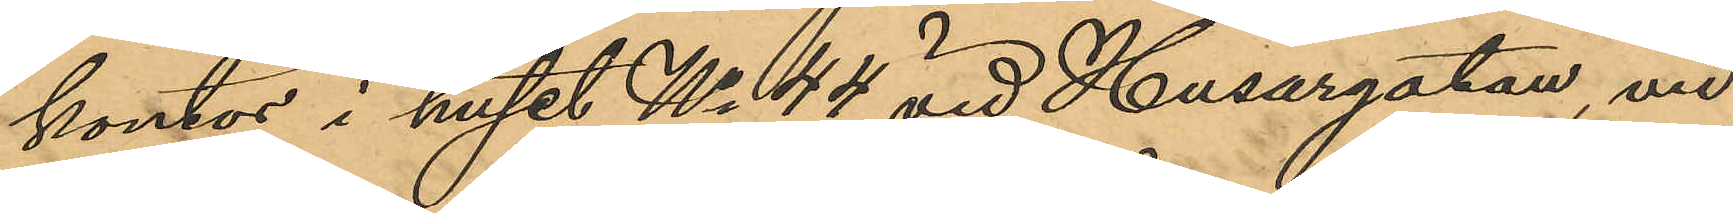kontor i huset No 44 vid Husargatan, vid
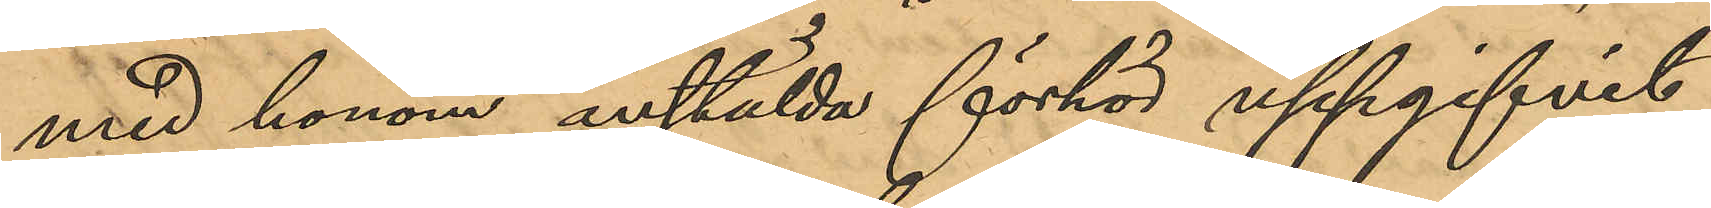med honom anstälda förhör uppgifvit
